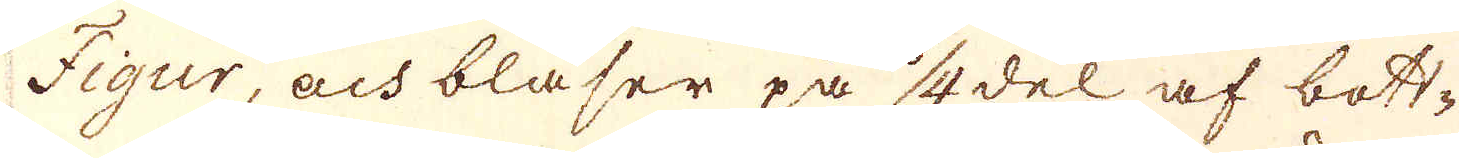Fiqur, och blåser på 1/4del af bott-
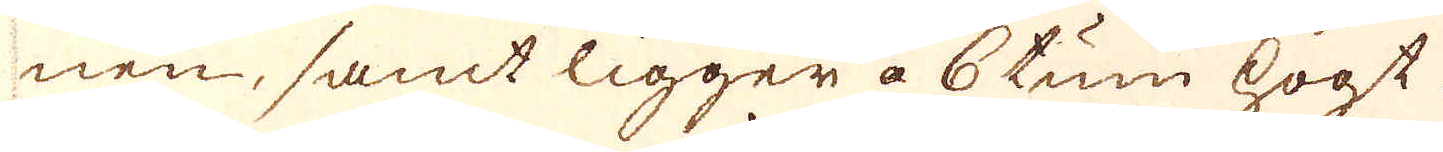nen, samt ligger a 6 tum högt.
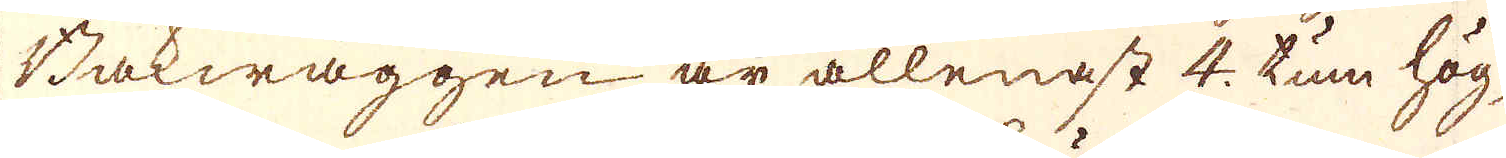Bakwäggen är allenast 4. tum hög,
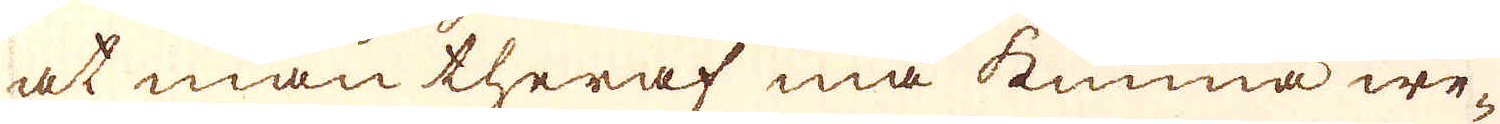at man theraf må kunna we-
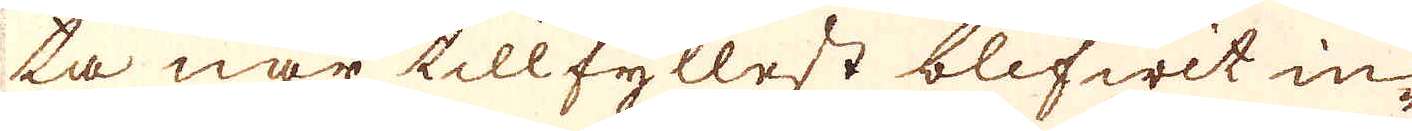ta när tillfyllest blifwit in-
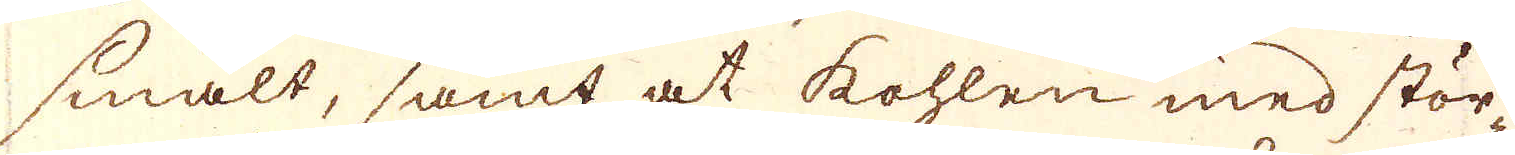smält, samt at kohlen med stör-
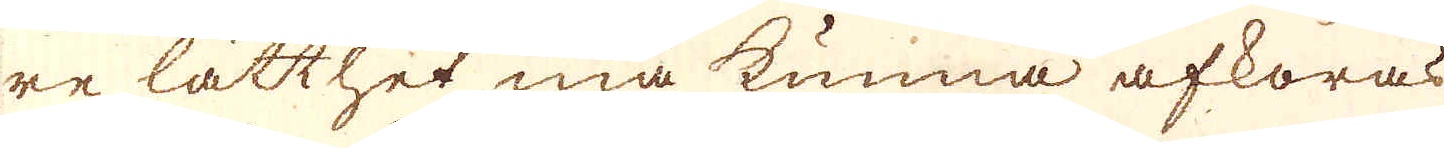re lätthet må kunna afkoras
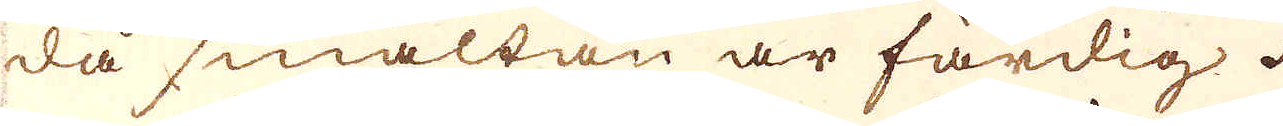då smältan är färdig.
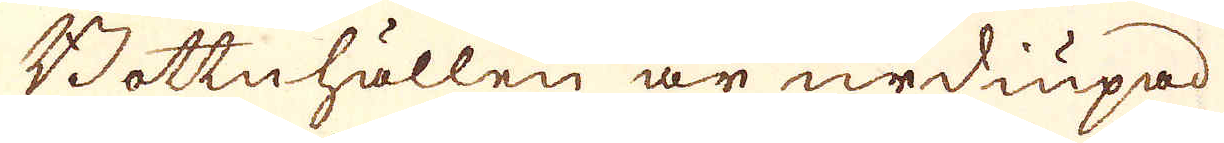Bottnhällen är urdiupad
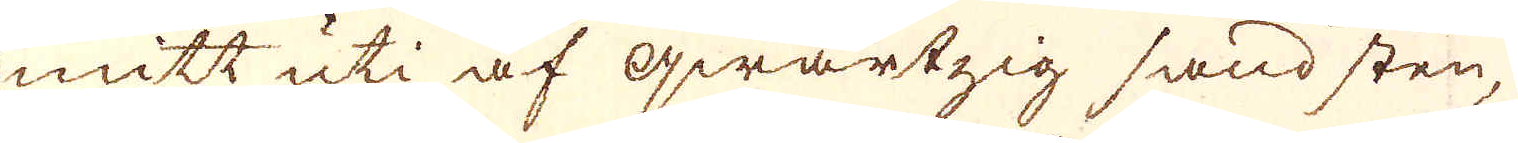mitt uti af qwartzig sand sten,
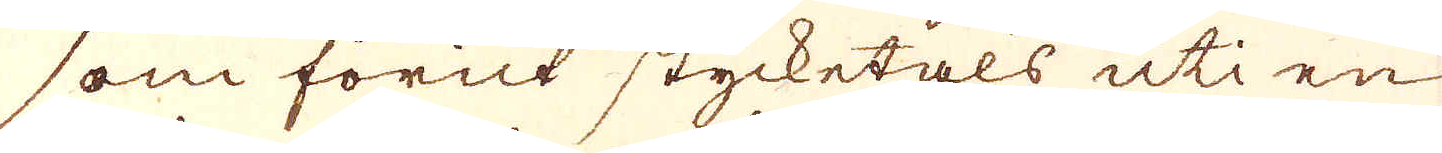som förut stycketals uti en
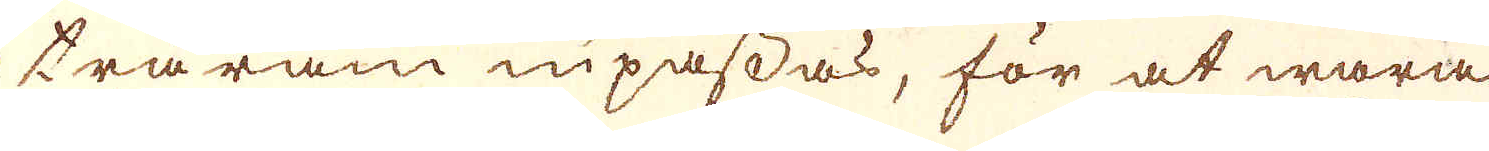träram inpassas, för at wara
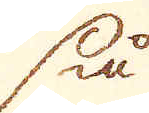så
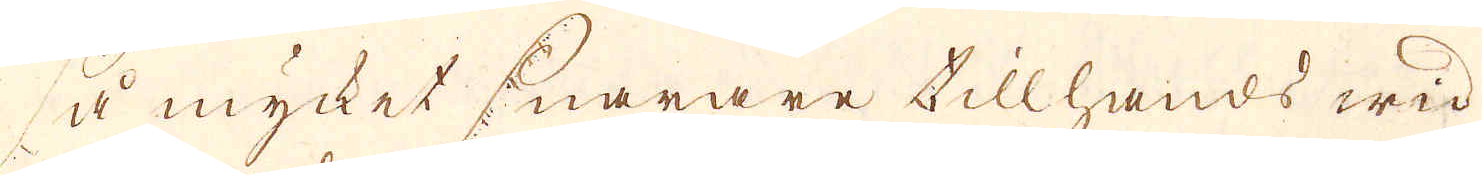så mycket snarare tillhands wid
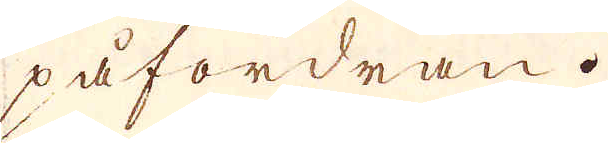påfordran.
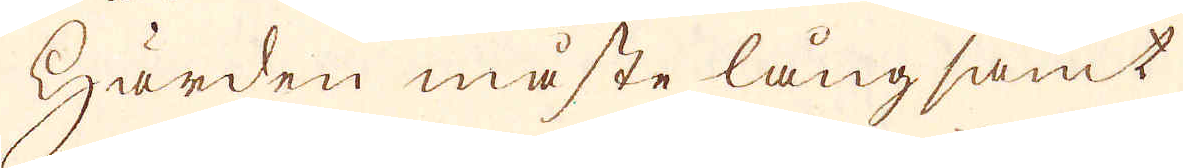Härden måste långsamt
